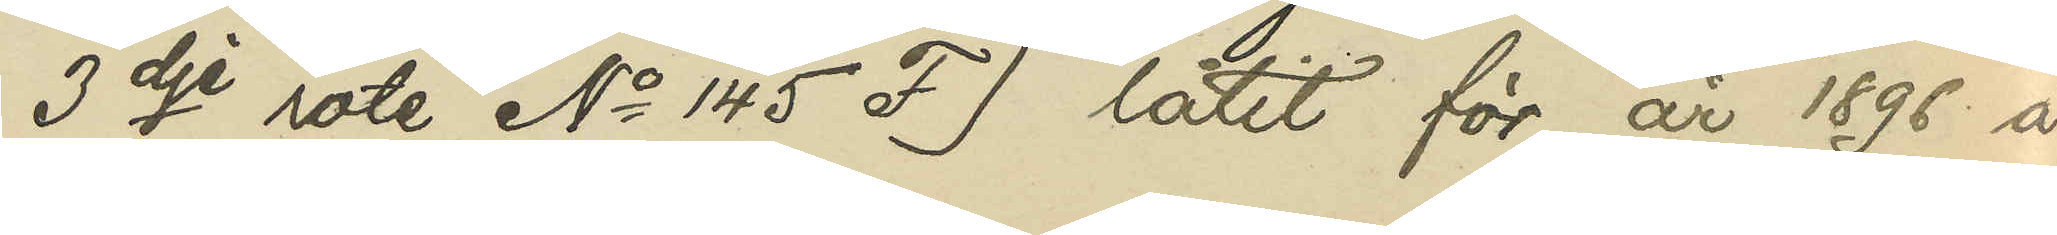3dje rote No 145 F) låtit för år 1896 å
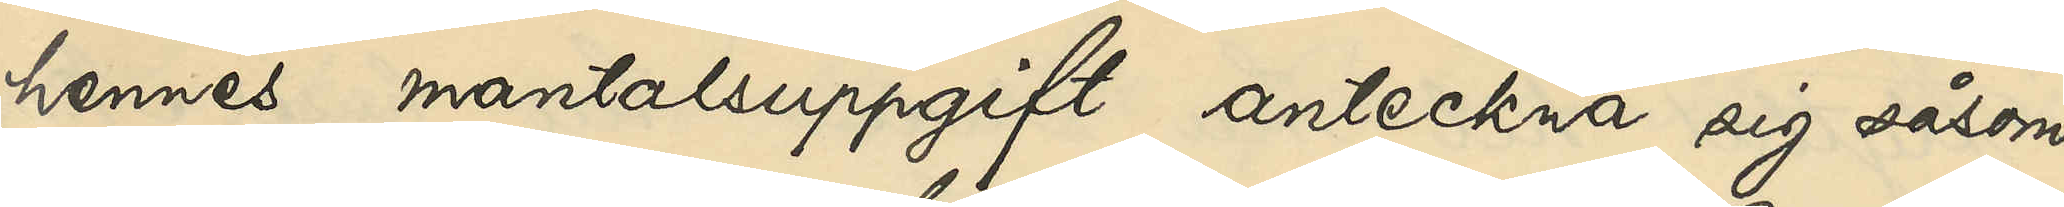hennes mantalsuppgift anteckna sig såsom
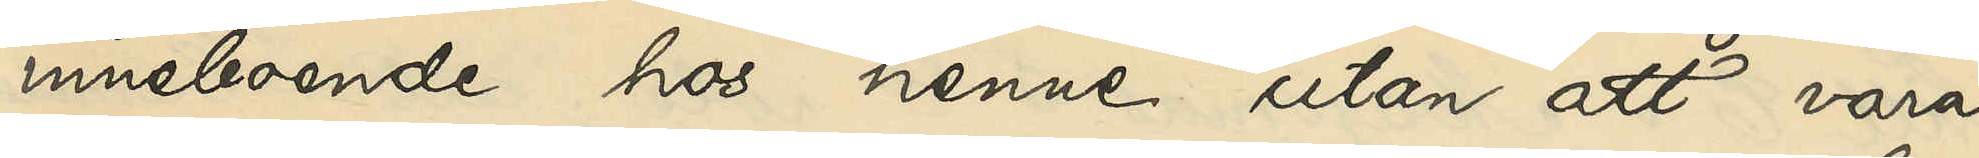inneboende hos henne utan att vara
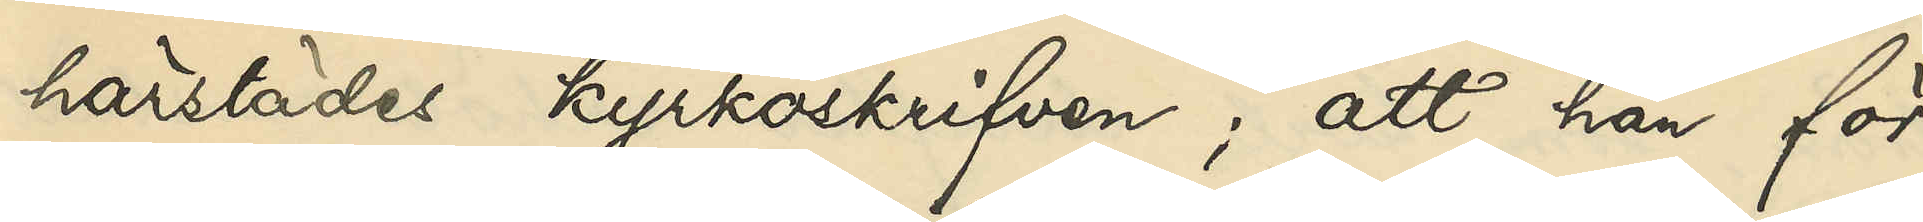härstädes kyrkoskrifven; att han för
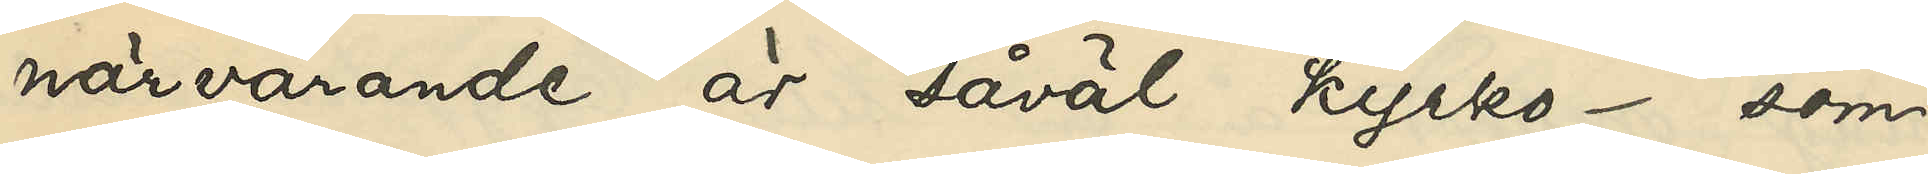närvarande är såväl kyrko- som
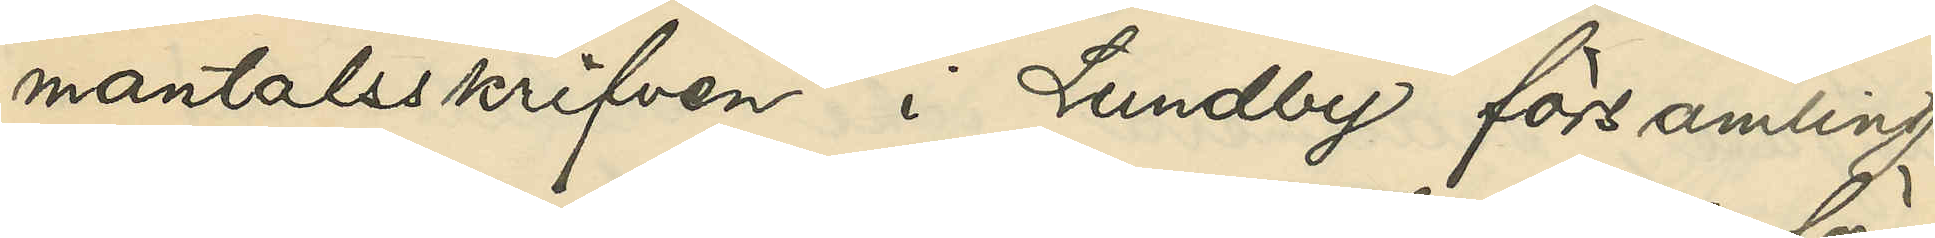mantalsskrifven i Lundby församling
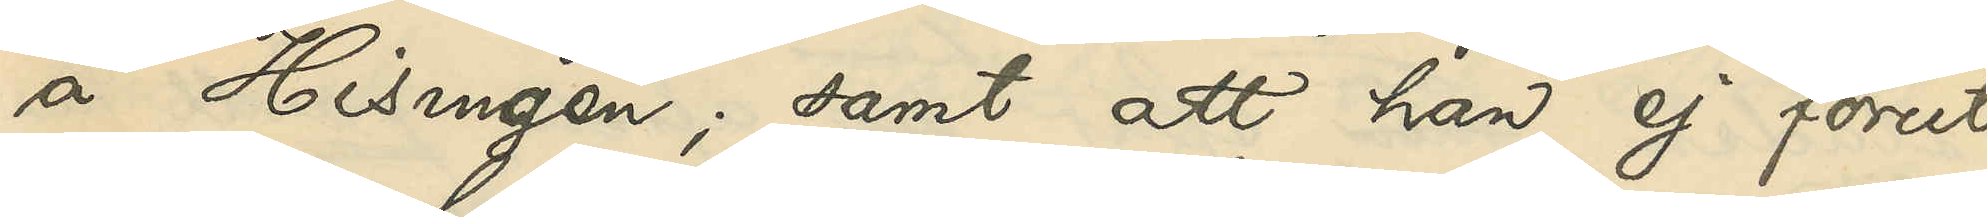å Hisingen; samt att han ej förut
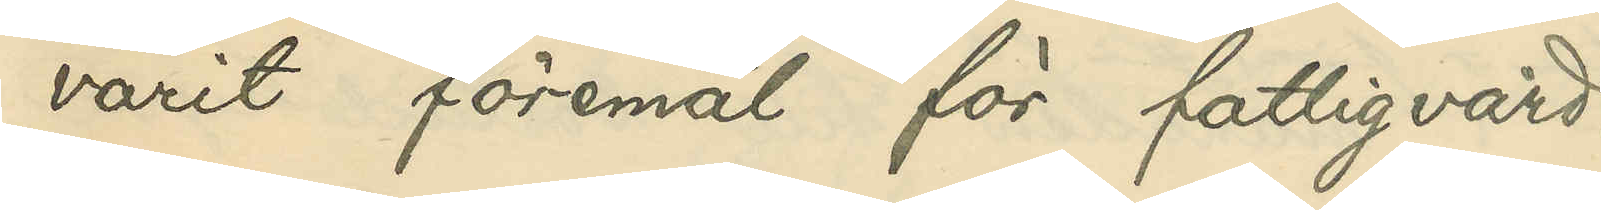varit föremål för fattigvård.
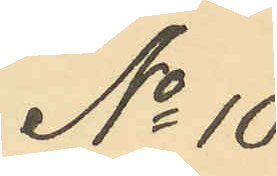No 10
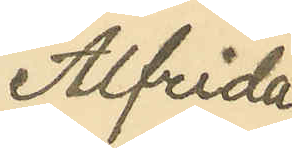Alfrida
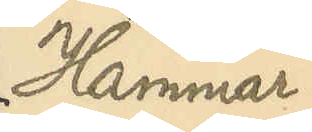Hammar¬
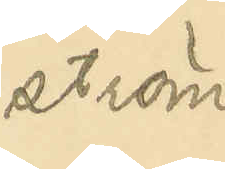ström
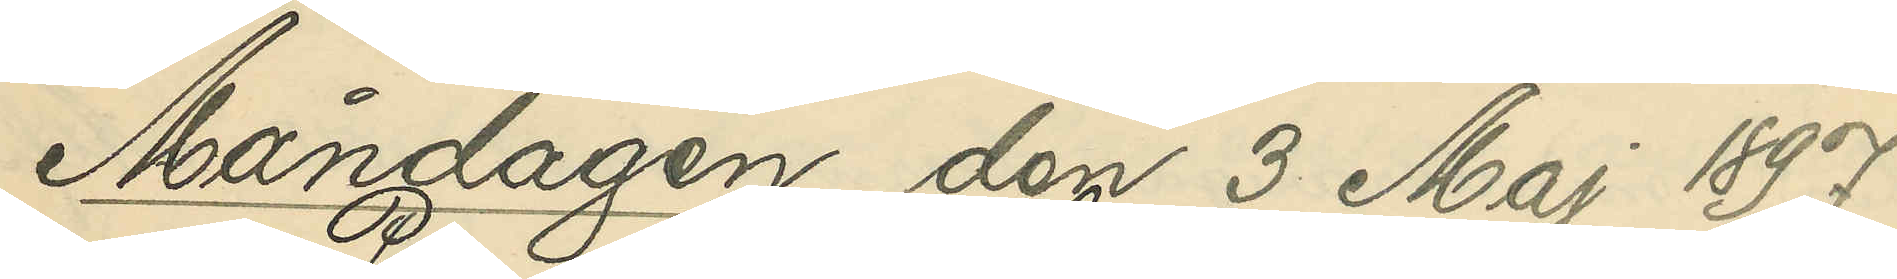Måndagen den 3 Maj 1897
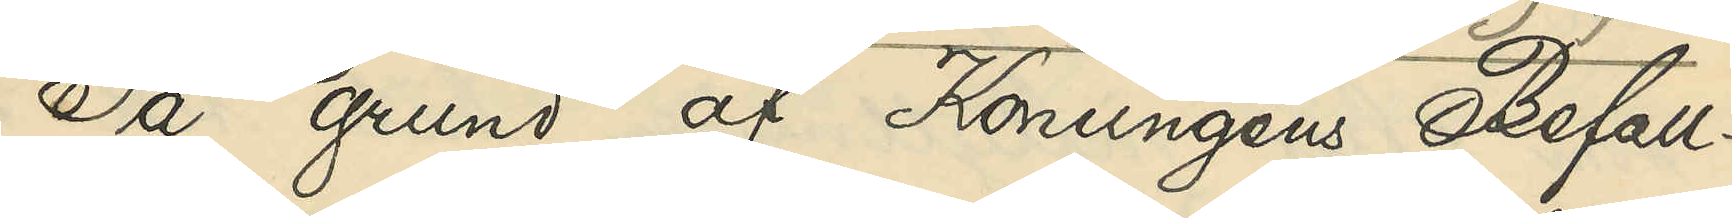På grund af Konungens Befall¬
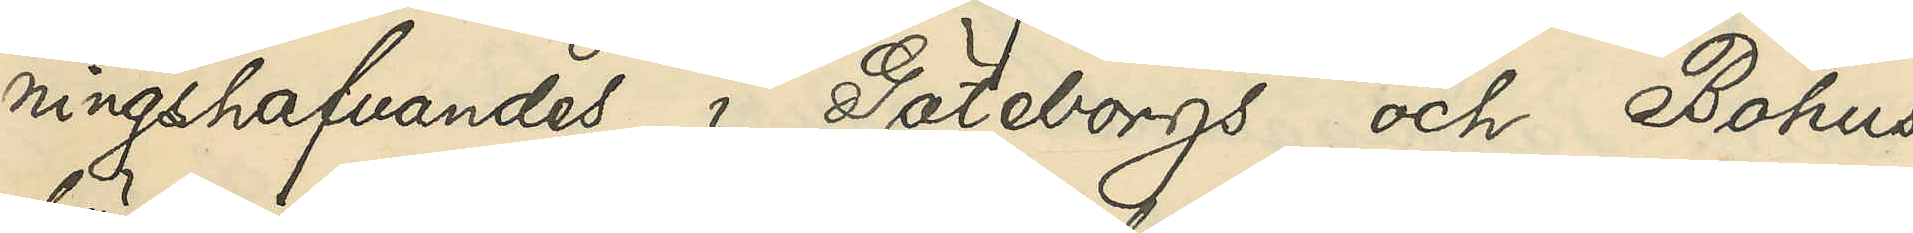ningshafvandes i Göteborgs och Bohus
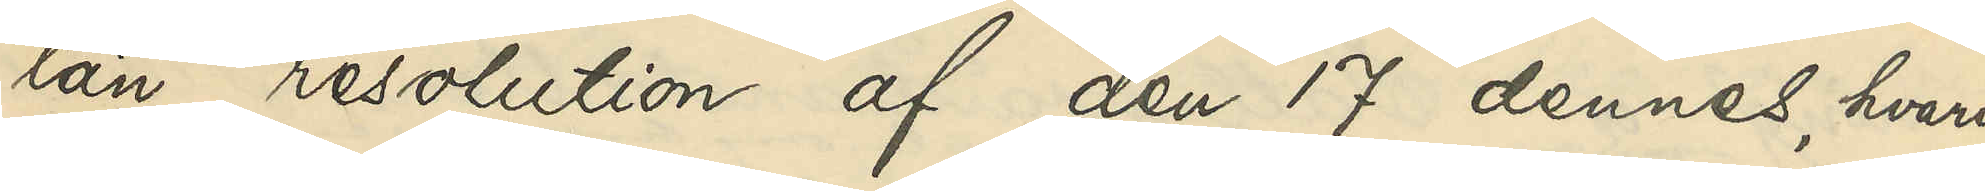län resolution af den 17 dennes, hvari¬
